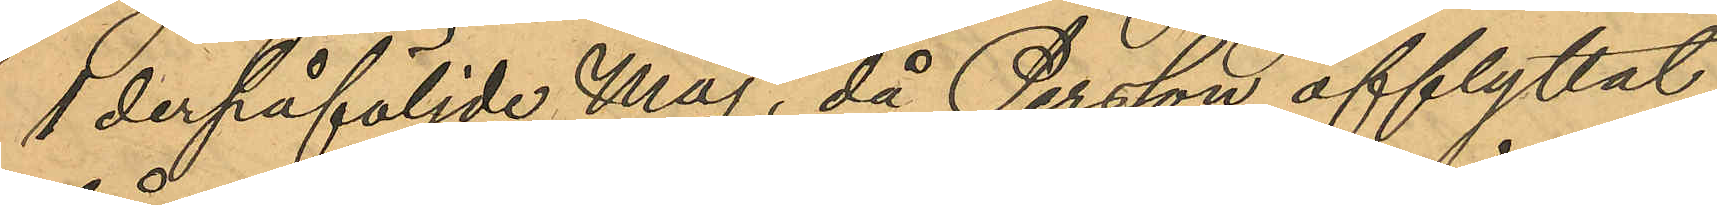i derpåföljde Maj, då Persson afflyttat
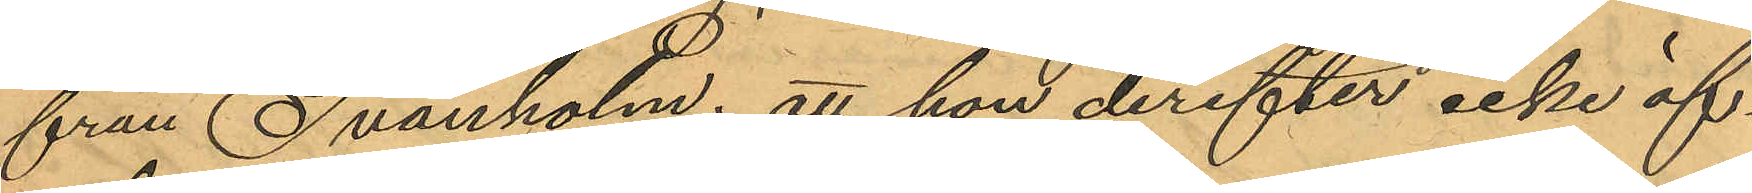från Svanholm; att hon derefter icke öf¬
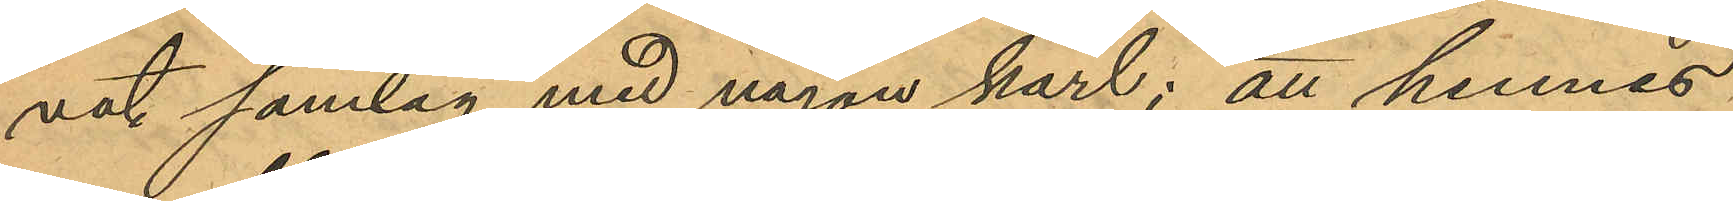vat samlag med någon karl; att hennes
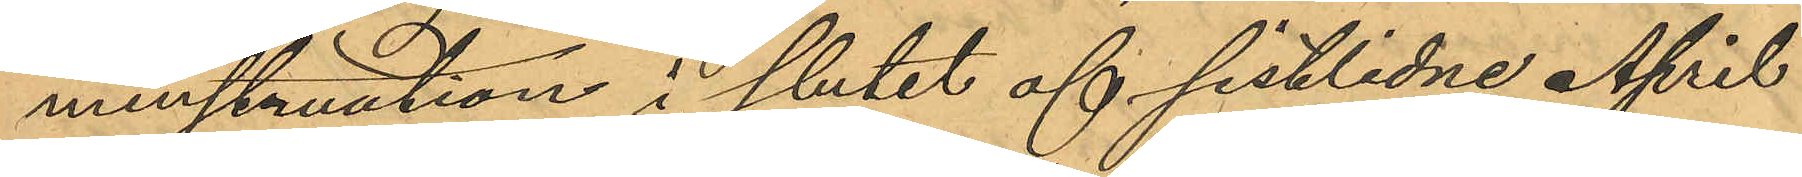menstruation i slutet af sistlidne April
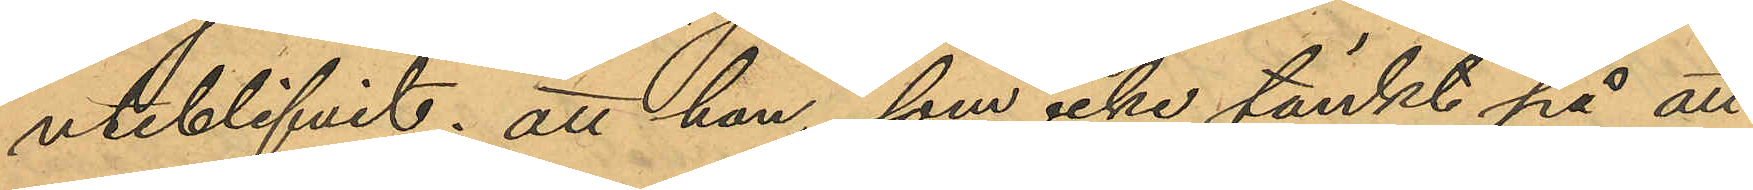uteblifvit; att hon, som icke tänkt på att
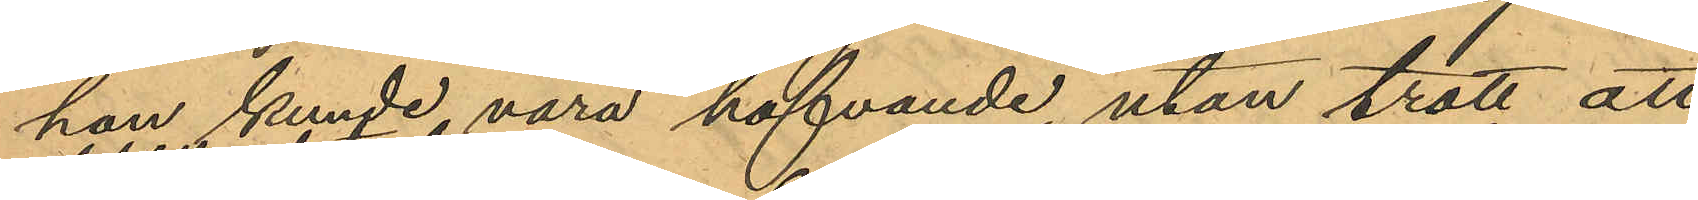hon kunde, vara hafvande, utan trott att
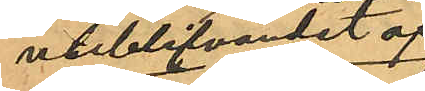uteblifvandet af
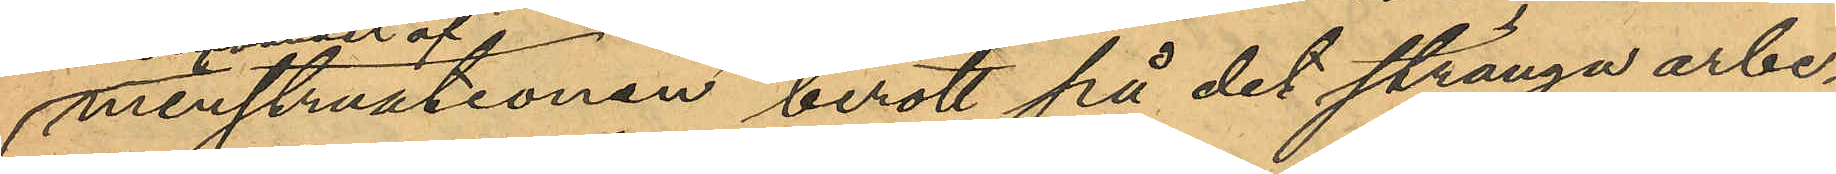menstruationen berott på det stränga arbe¬
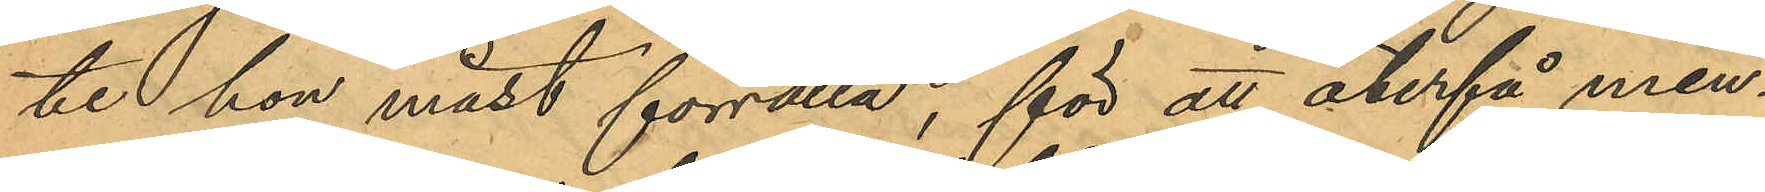te hon måst förrätta, för att återfå men¬
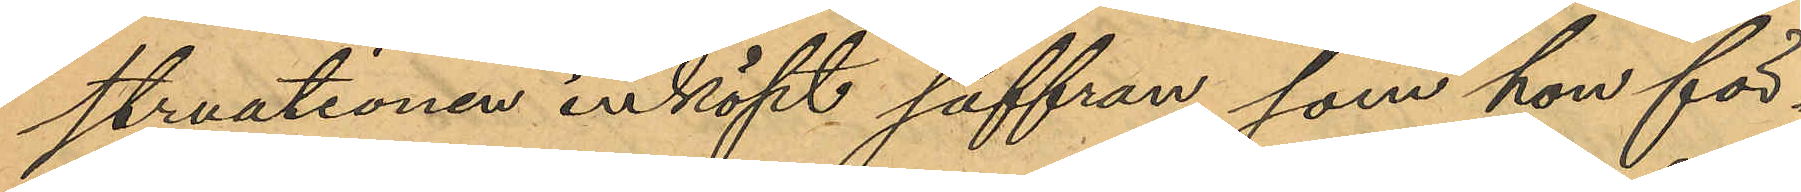struationen inköpt saffran, som hon för¬
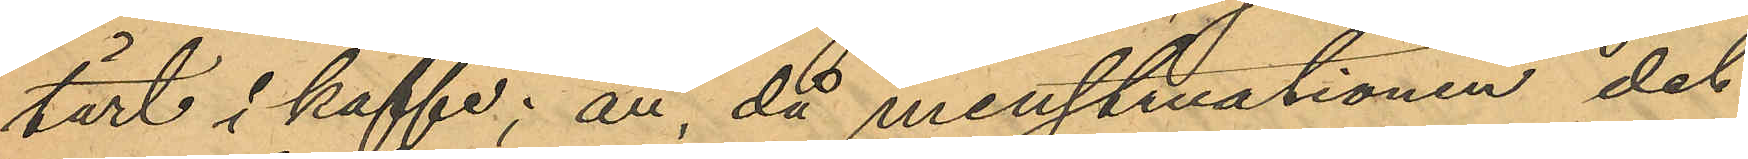tärt i kaffe; att då menstruationen det
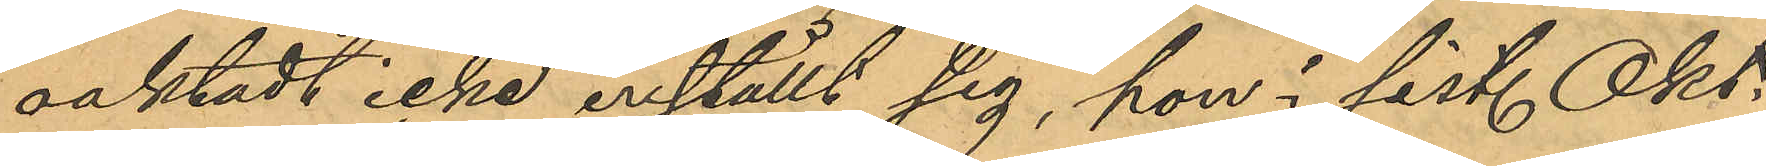oaktadt icke inställt sig, hon i sist. Okt.
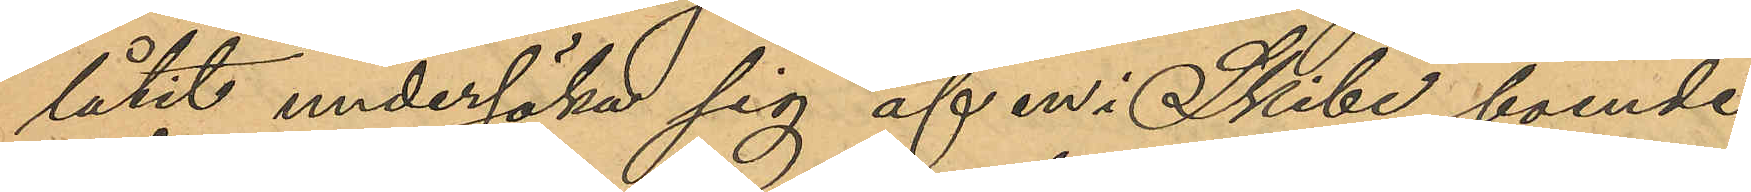låtit undersöka sig af en i Skibe boende
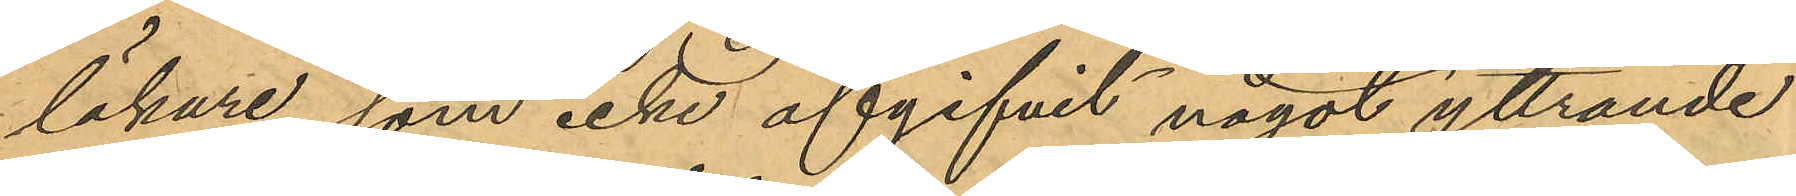läkare, som icke afgifvit något yttrande
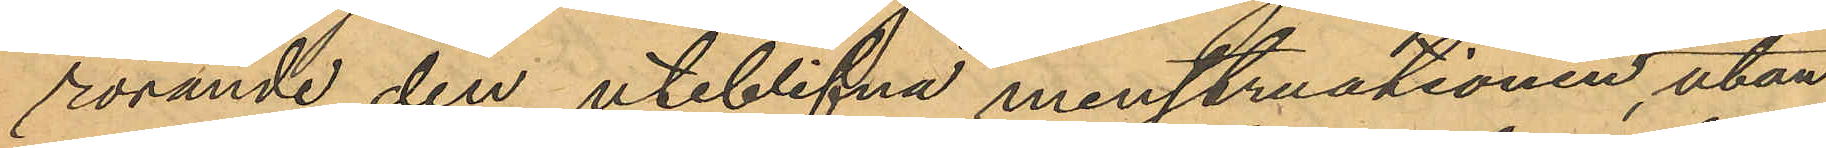rörande den uteblifna menstruationen, utan
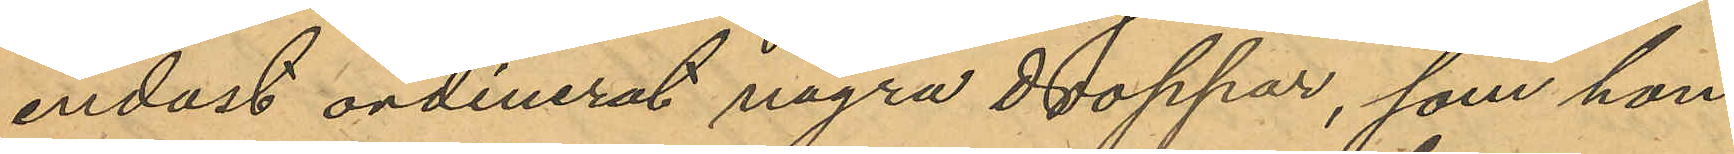endast ordinerat några doppar, som hon
